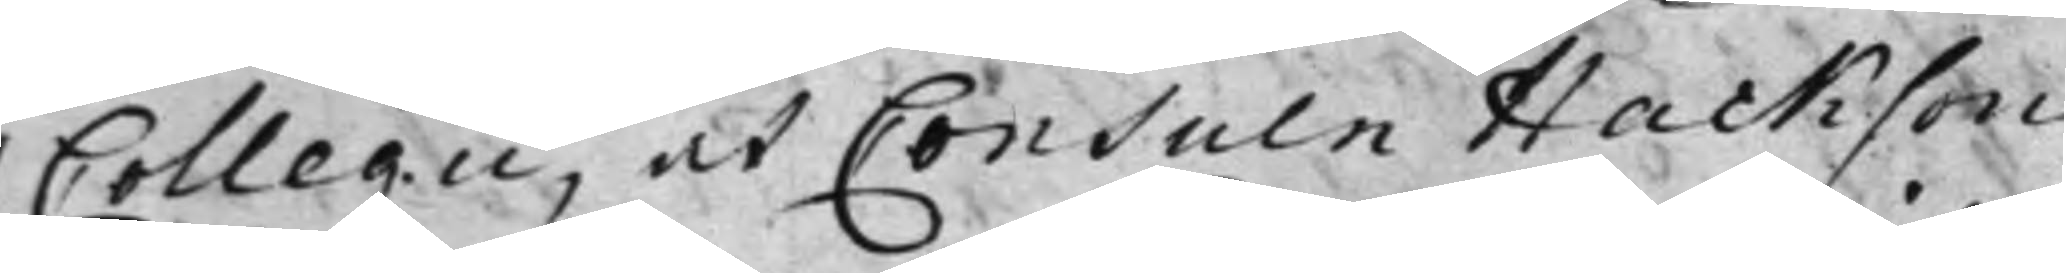Collegii, at Consuln Hackson
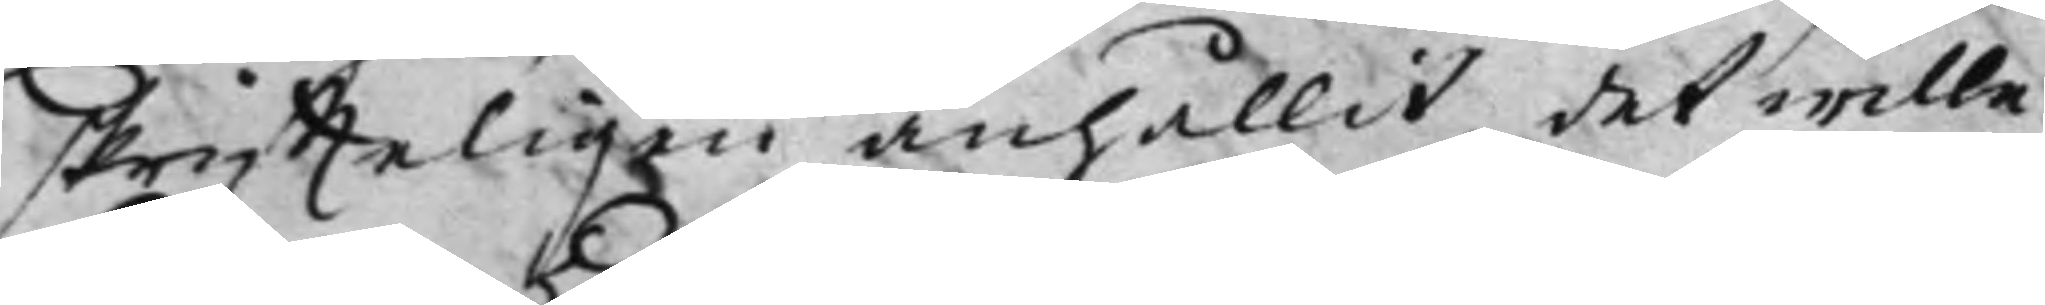skriffteligen anhållit, det wille
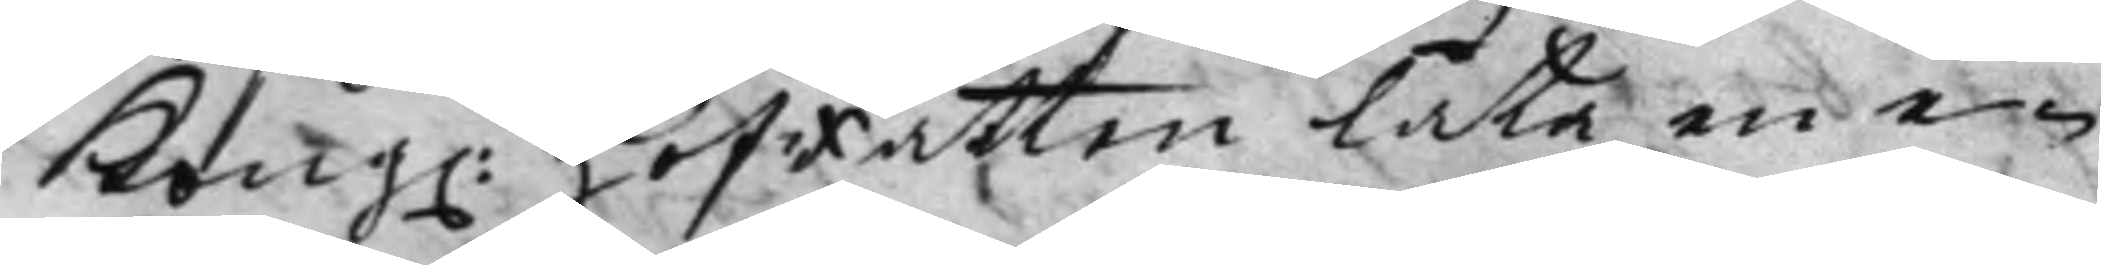Kong. HofRätten låta en e¬
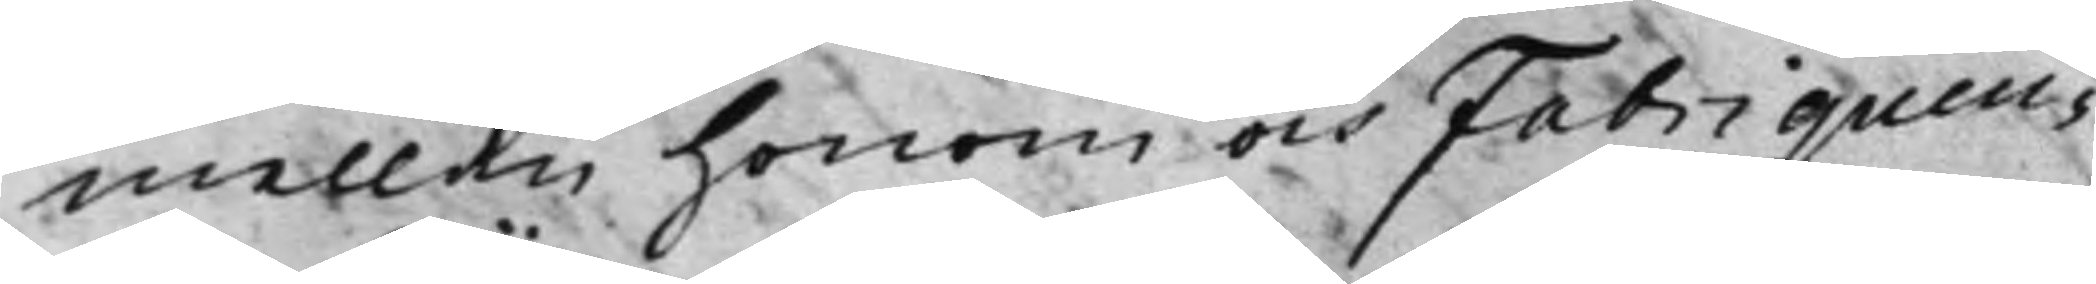mellan honom och Fabriqueu¬
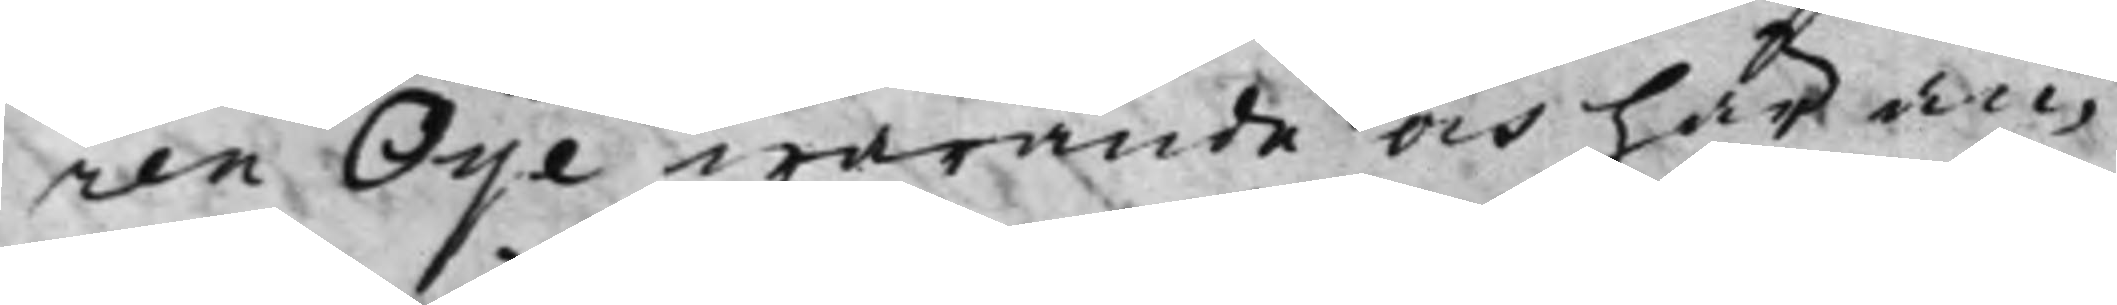ren Oije warande och här an¬
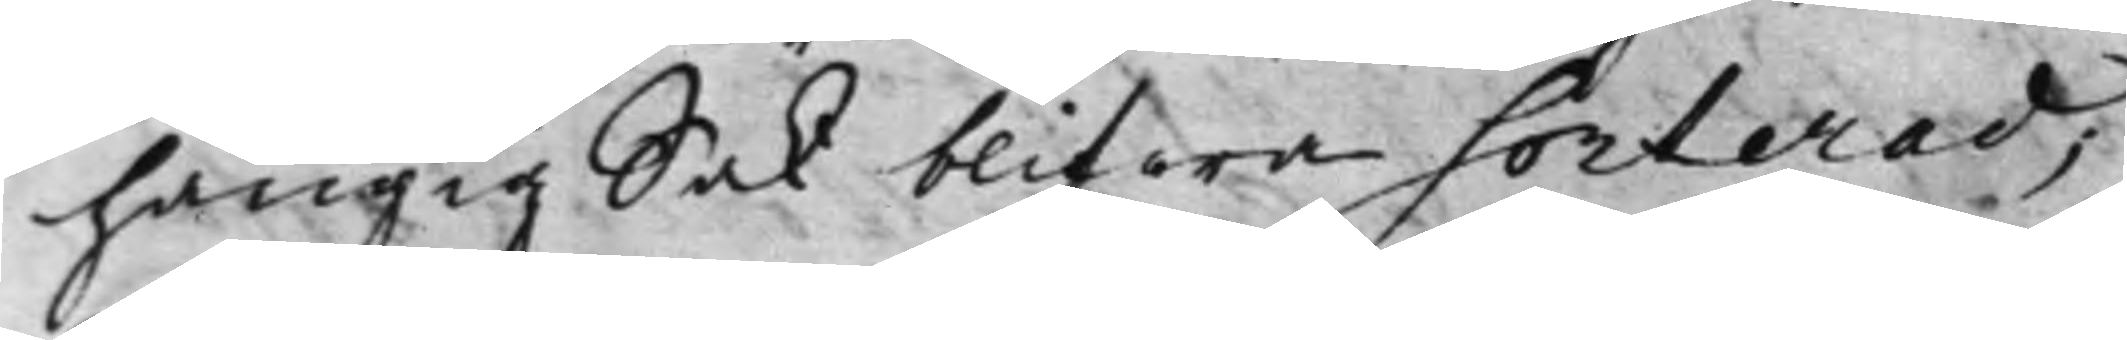hängig Sak blifwa Sorterad;
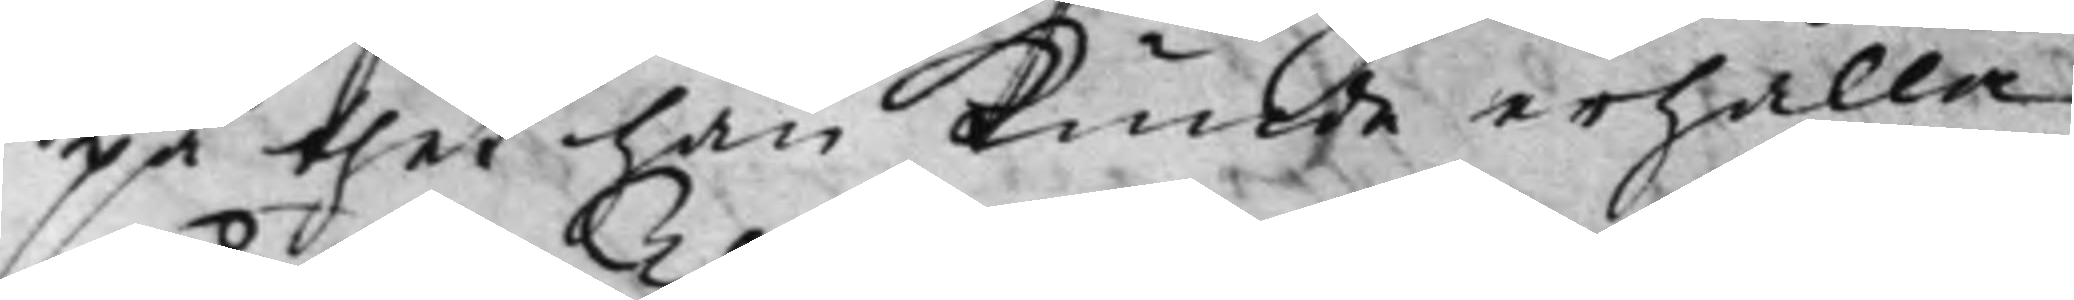på thet han kunde erhålla
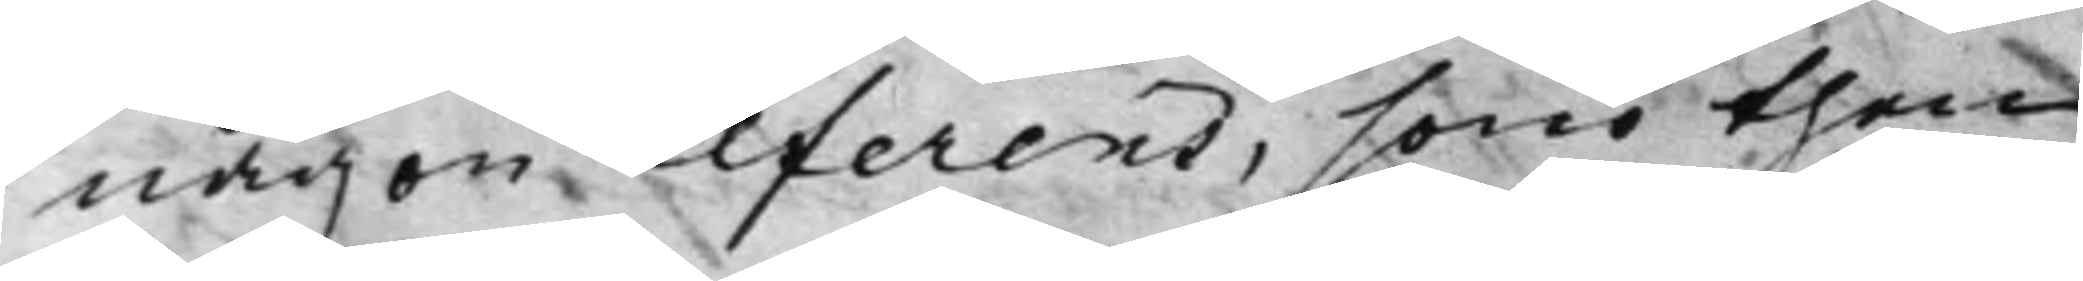någon Referens, som then
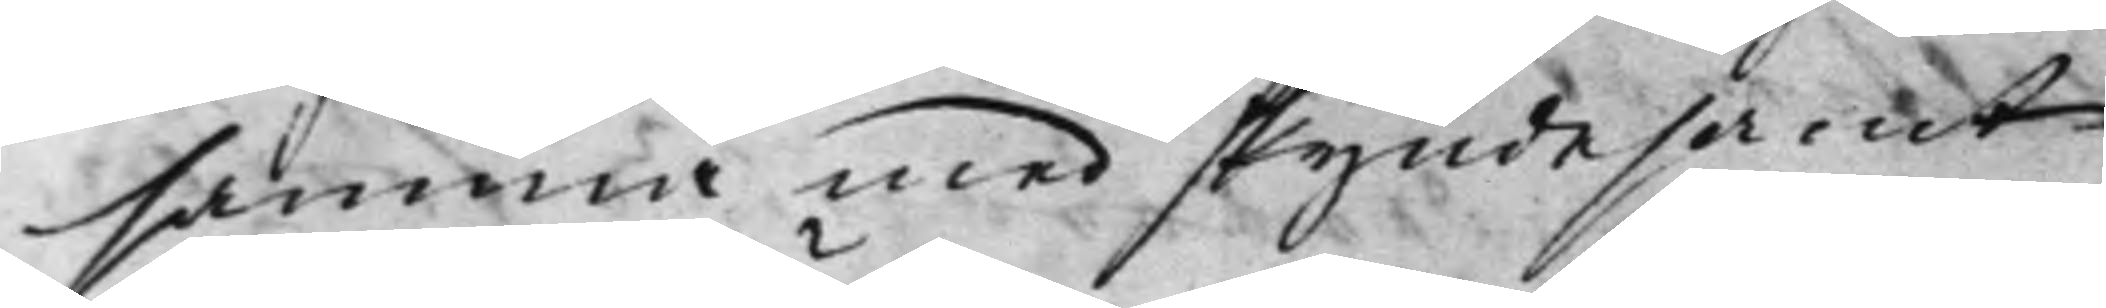samma med skyndesamt
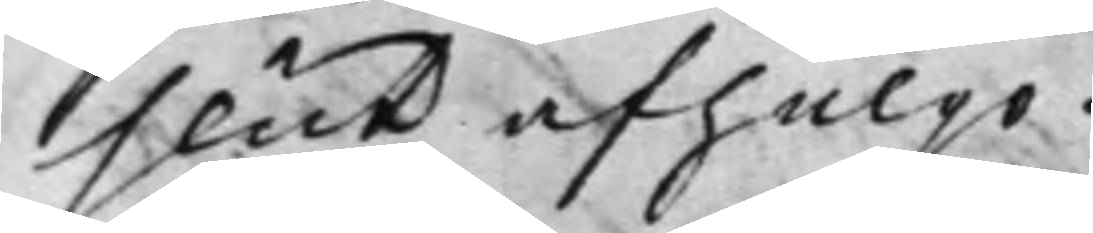slut afhulpo.
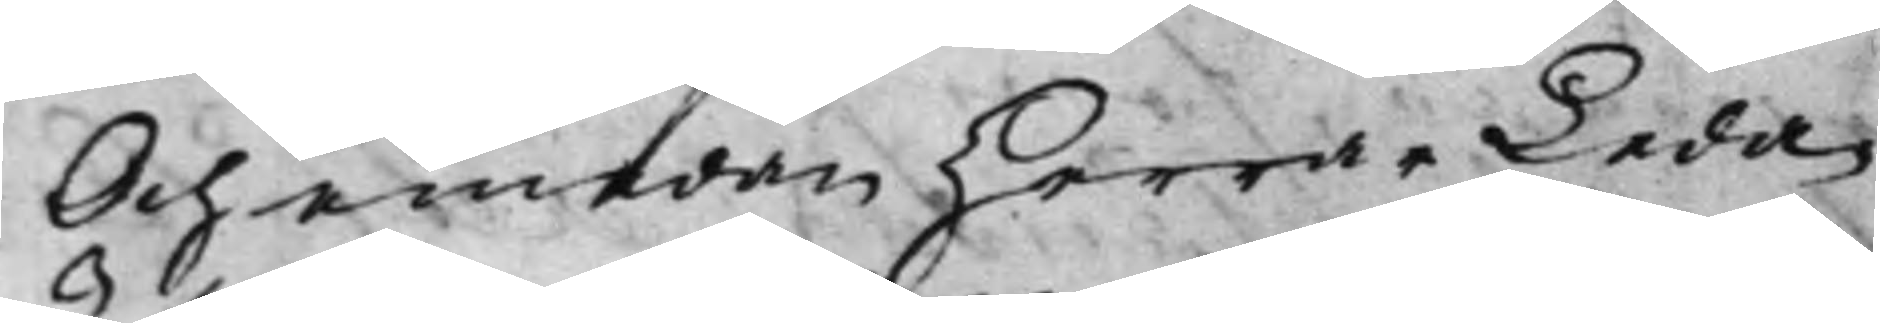Och emedan Herrar Leda¬
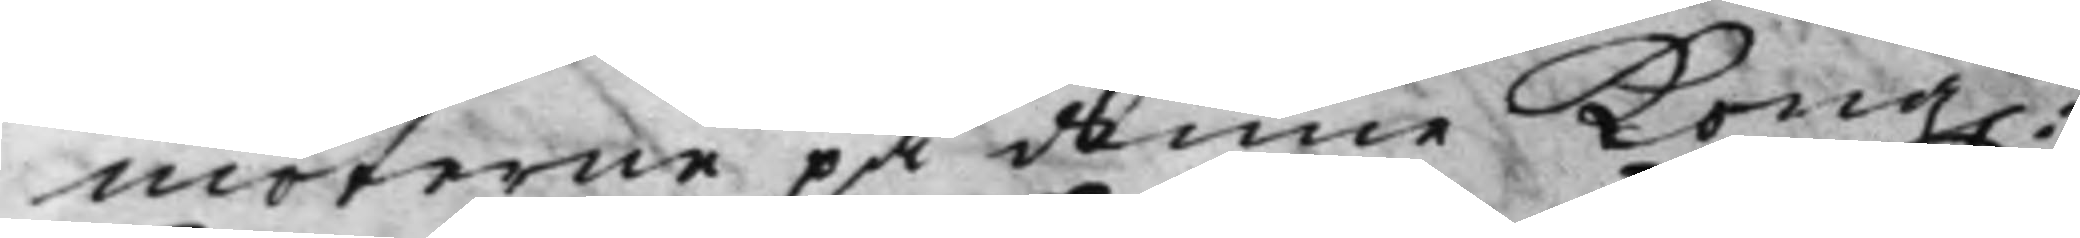möterne på denne Kong.
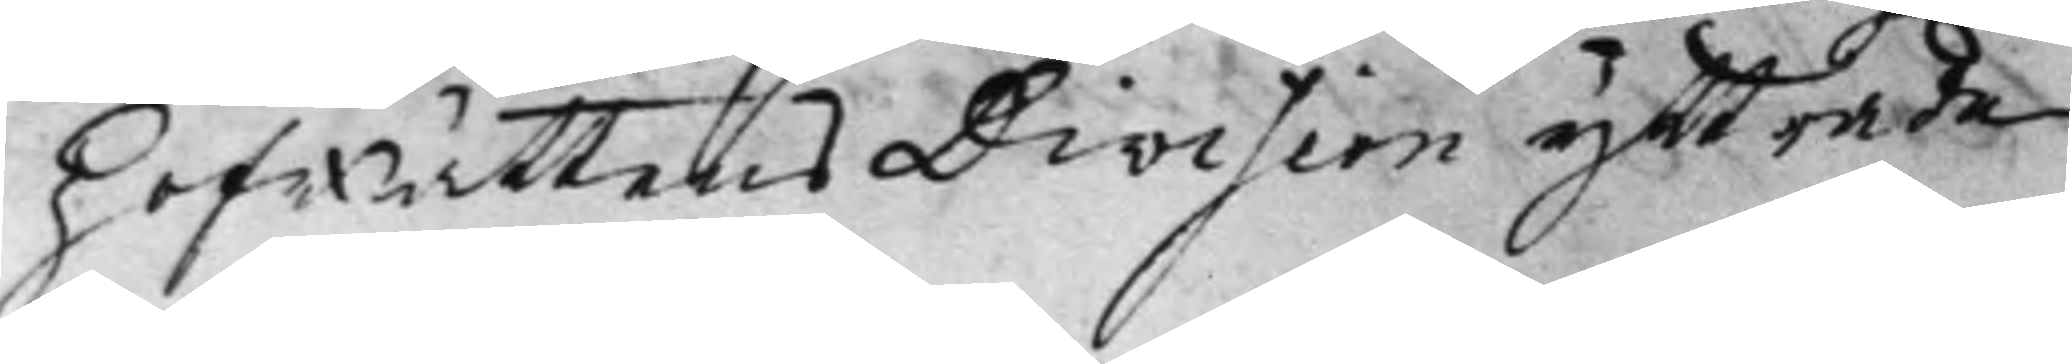Hofrättens Division yttrade
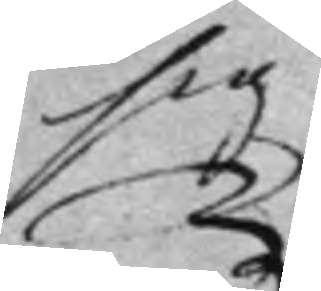sig
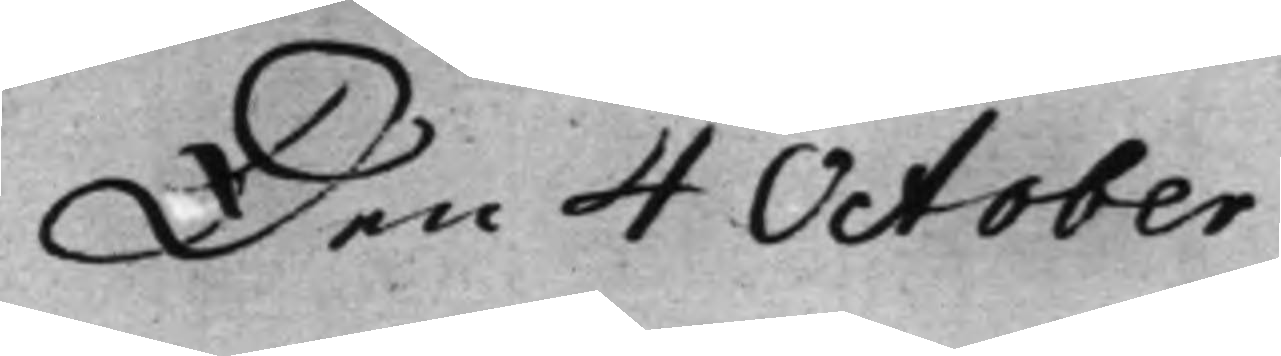Den 4 October
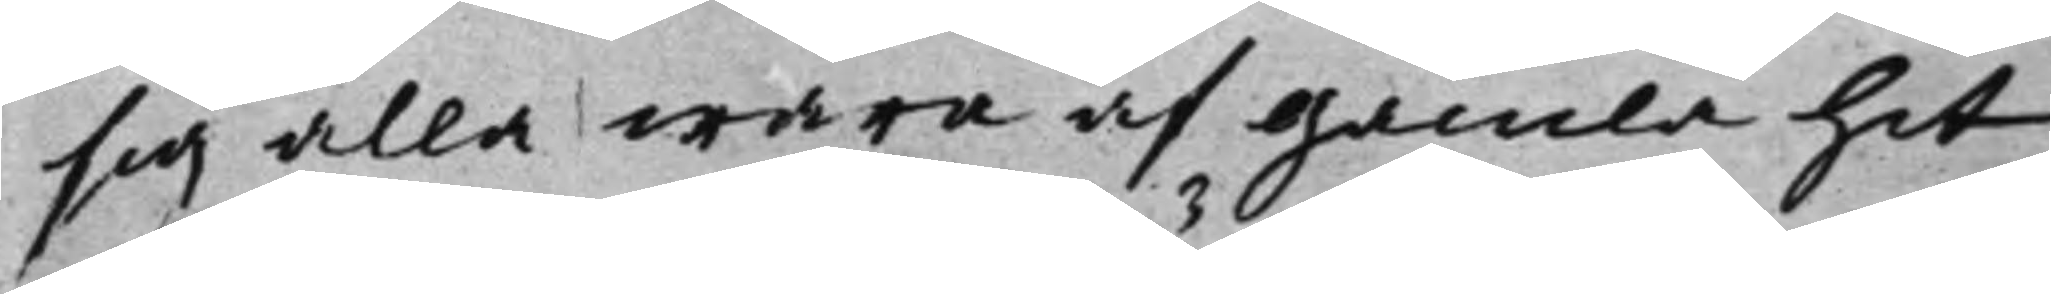sig alla wara af gamla hit
